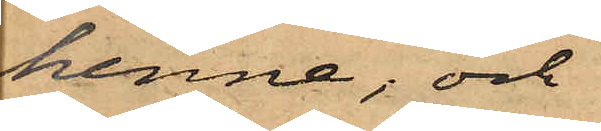henne, och
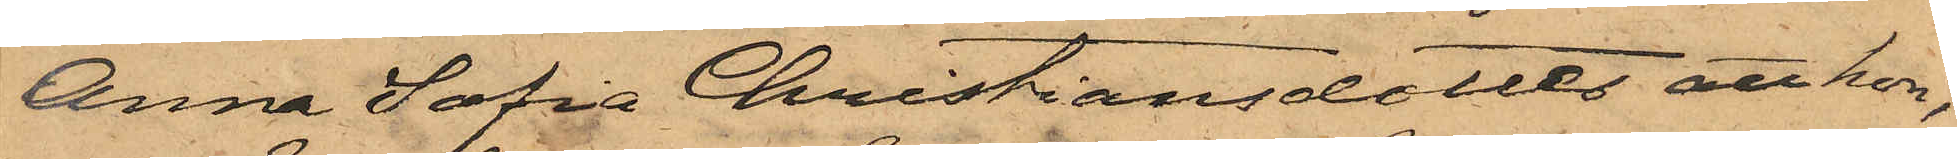Anna Sofia Christiansdotter att hon,
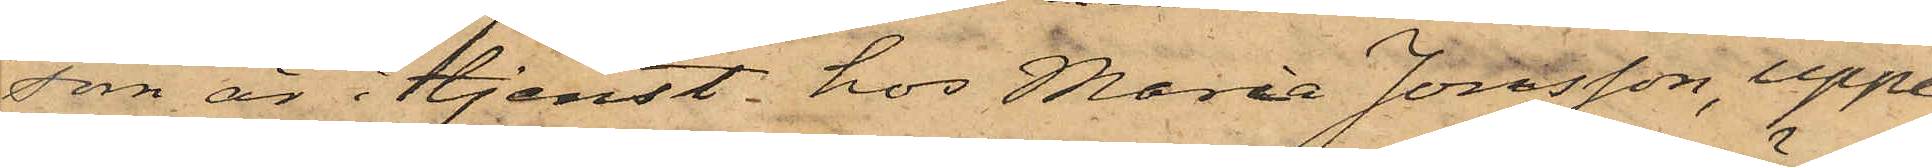som är i tjenst hos Maria Jonsson, uppe¬
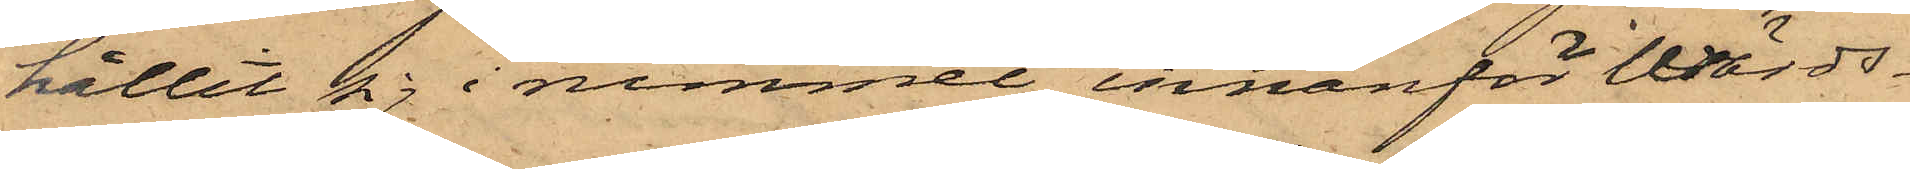hållit sig i rummet innanför Wärds¬
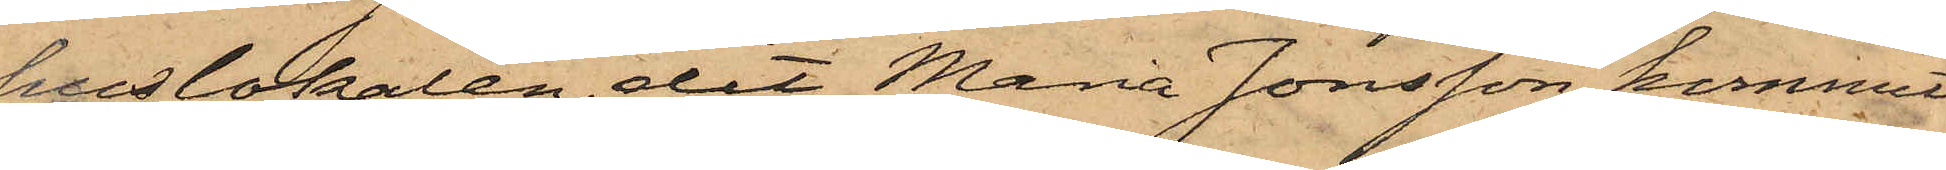huslokalen, dit Maria Jonsson kommit
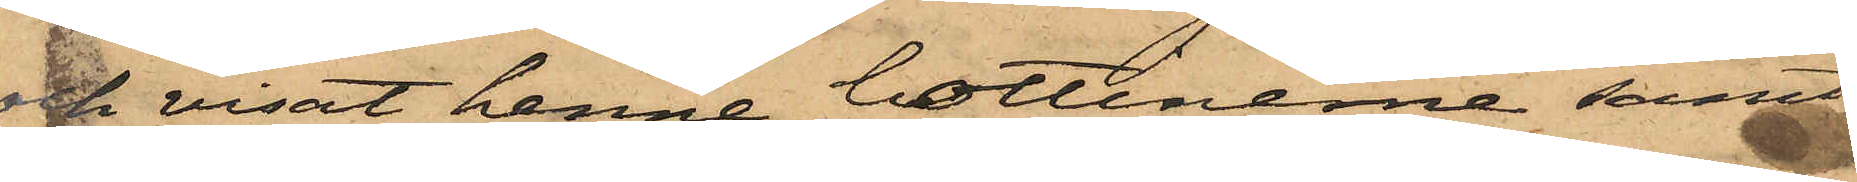och visat henne bottinerne, samt
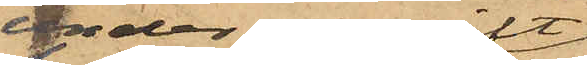under uppgift
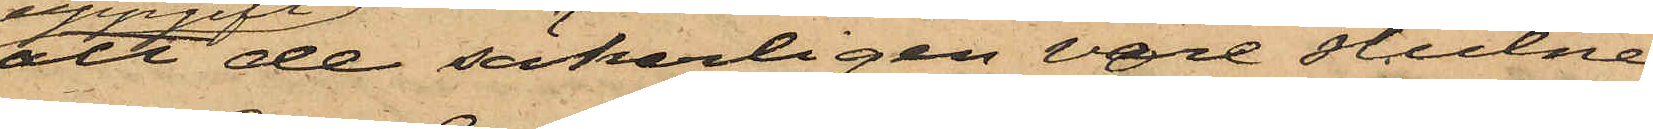att de säkerligen vore stulne
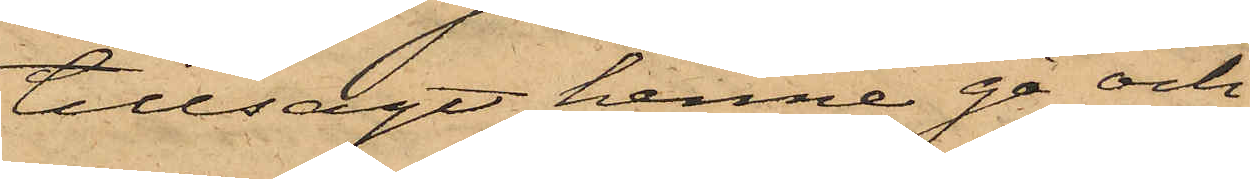tillsagt henne gå och
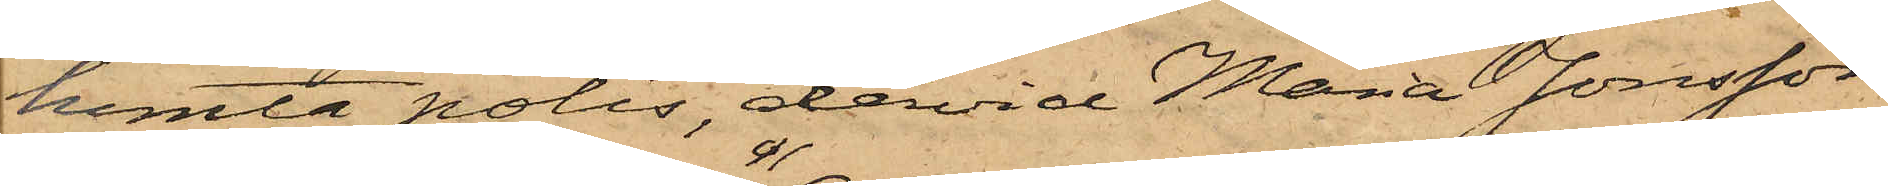hemta polis, dervid Maria Jonsson
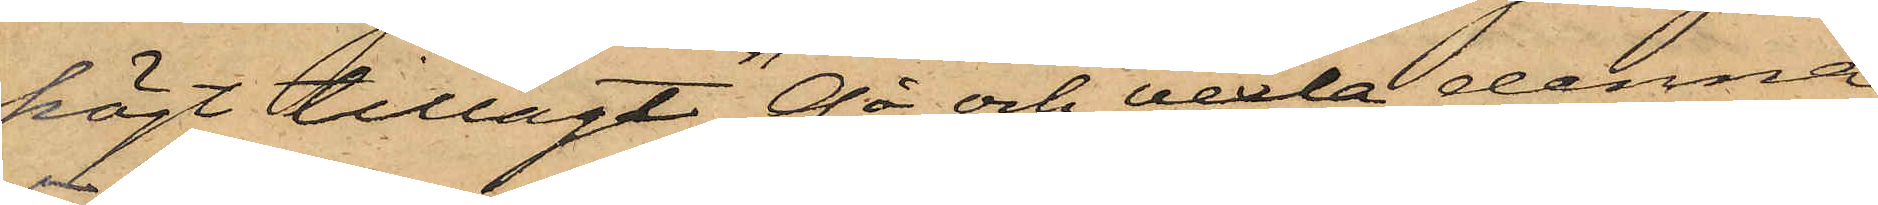högt tillagt "Gå och vexla denna
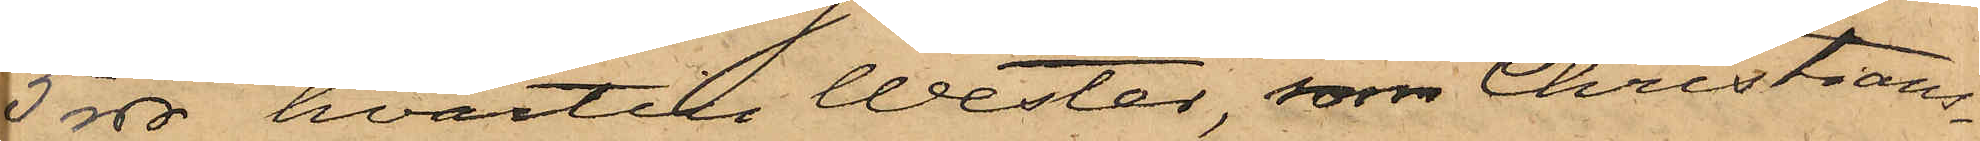5 rdr", hvartill Wester, som Christians¬
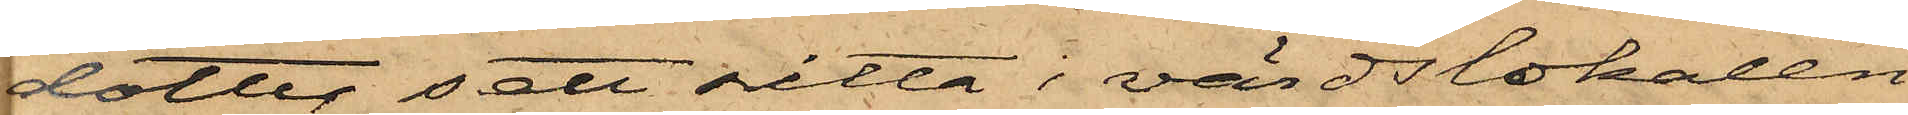dotter sett sitta i värdslokalen
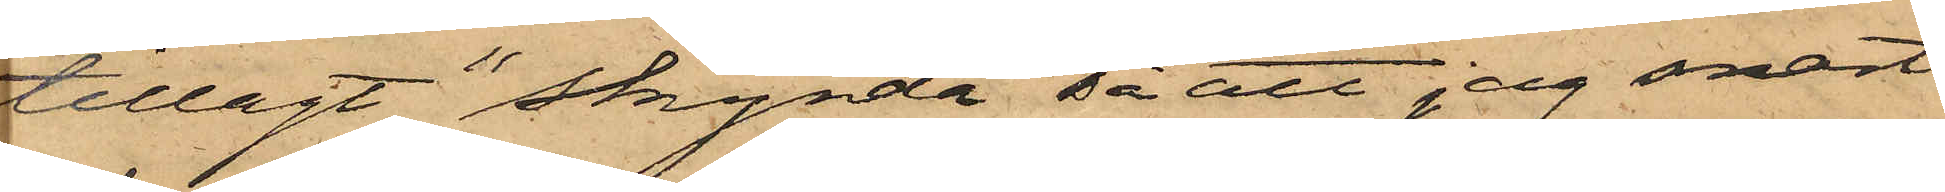tillagt "skynda så att jag snart
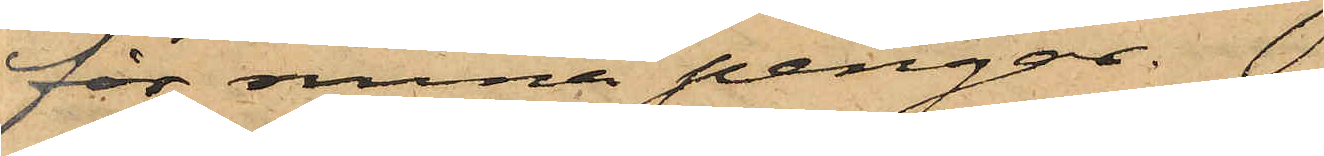för sina pengar".
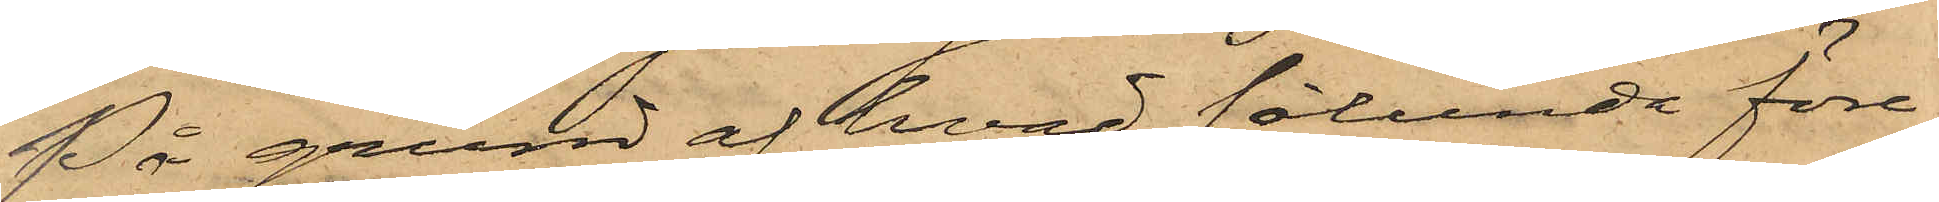På grund af hvad sålunda före¬
